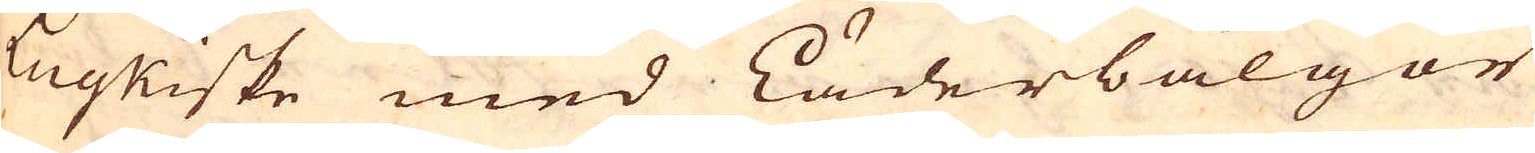Luykiske med Läderbälgor
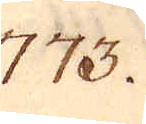773.
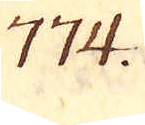774.
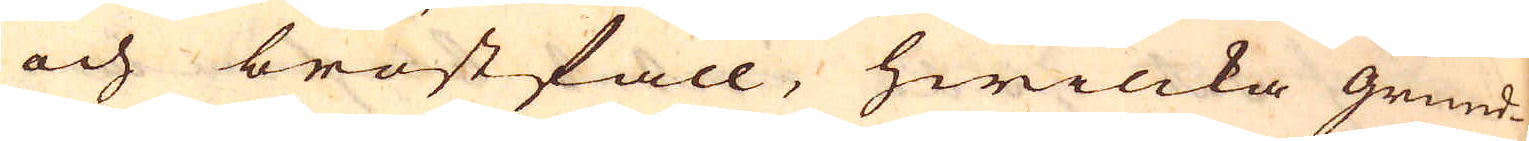och bröstfall, hwilcka grund-
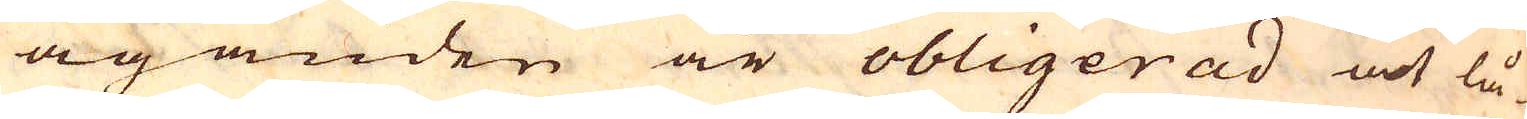äganden är obligerad at lå-
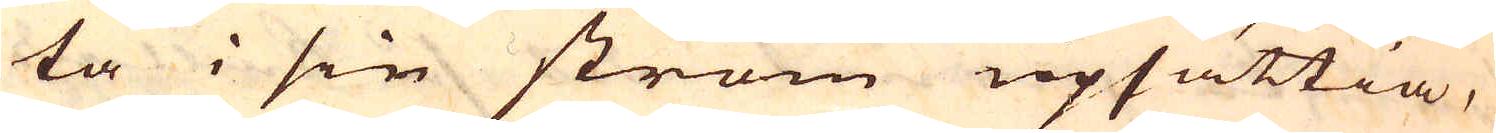ta i sin ström upsättia,
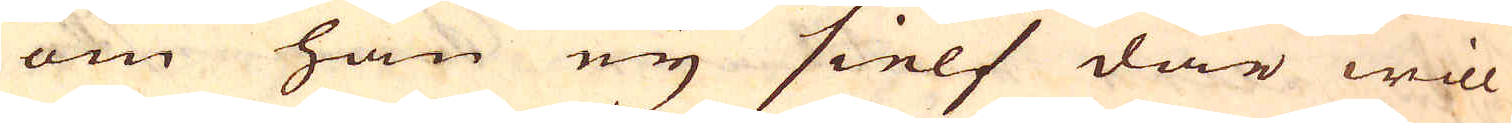om han ey sielf där will
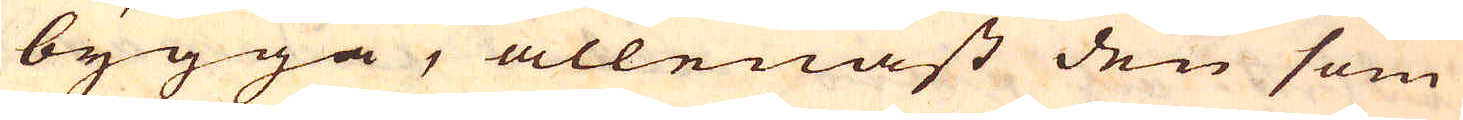bygga, allenast den som
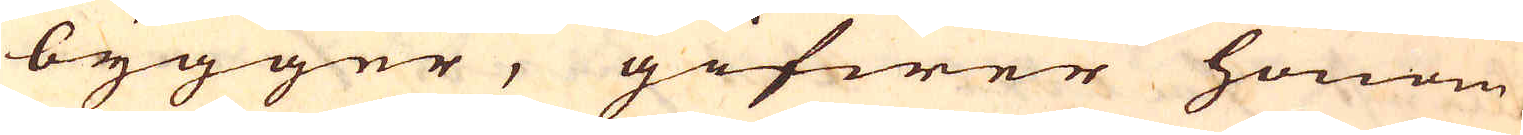bygger, gifwer honom
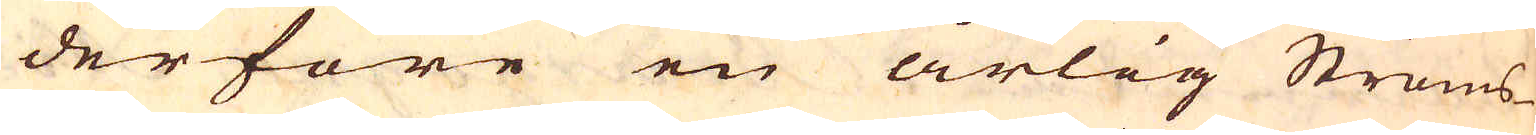derföre en årlig Ströms
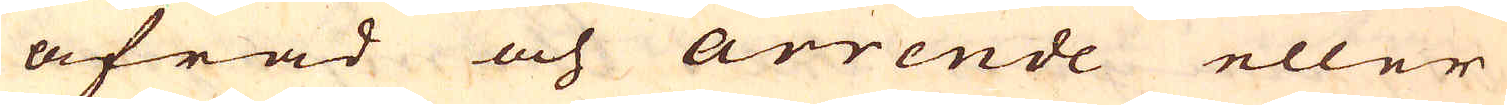afrad och arrende eller
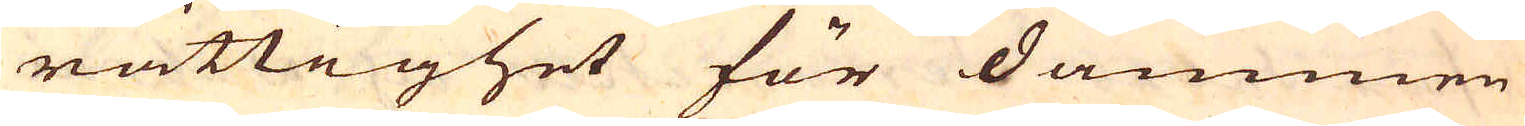rättighet för dammen
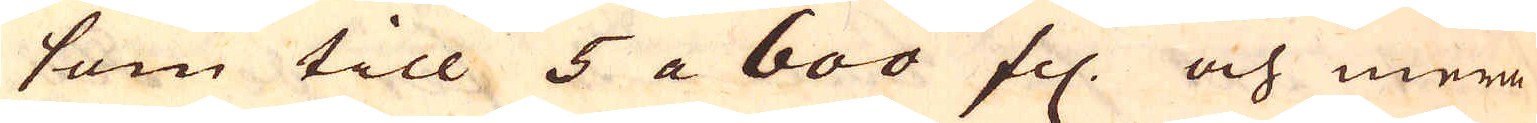som till 5 a 600 fl. och mera
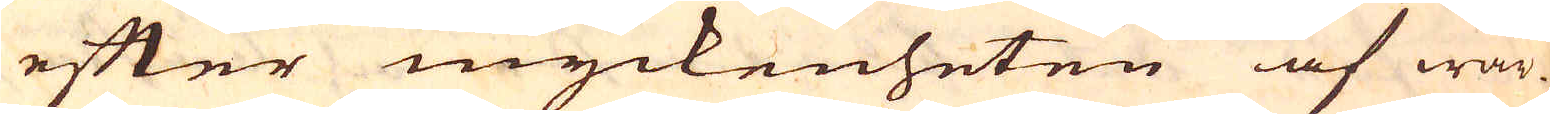efter myckenheten af wär-
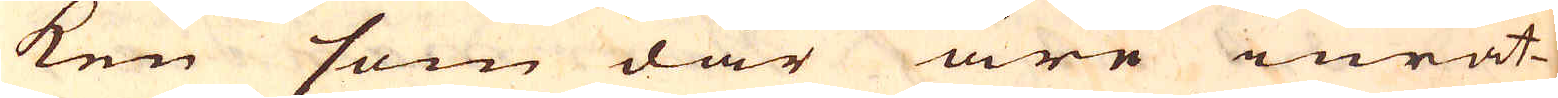ken som där äre inrät-
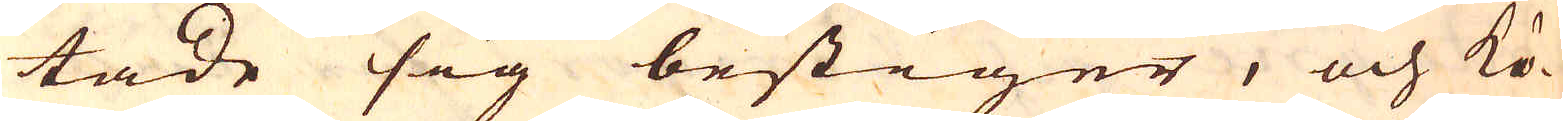tade sig bestiger, och kö-
